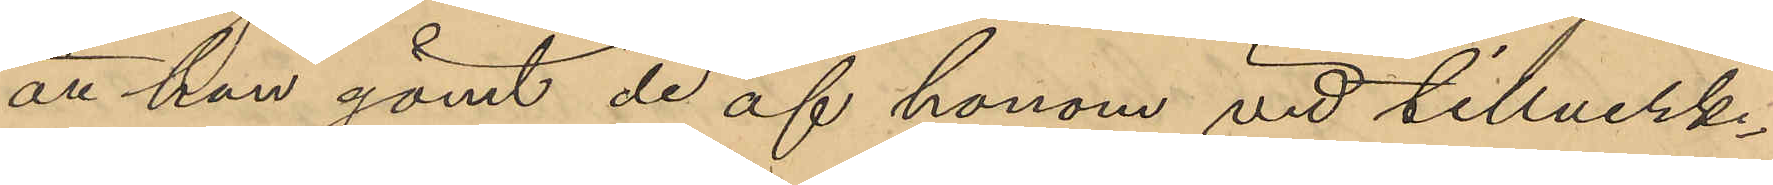att han gömt de af honom vid tillverk¬
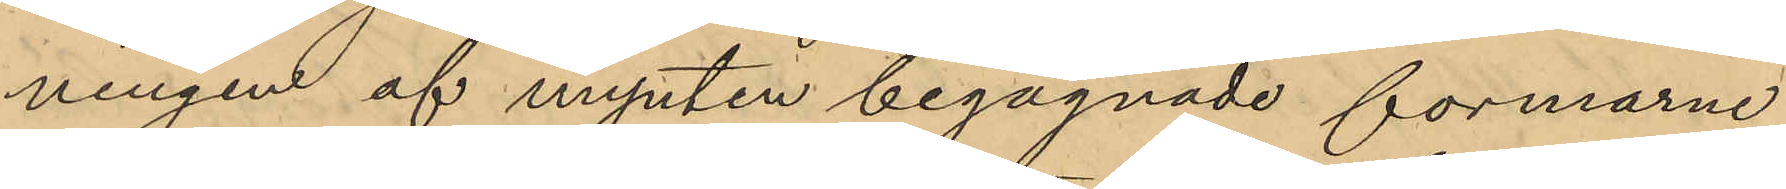ningen af mynten begagnade formarne
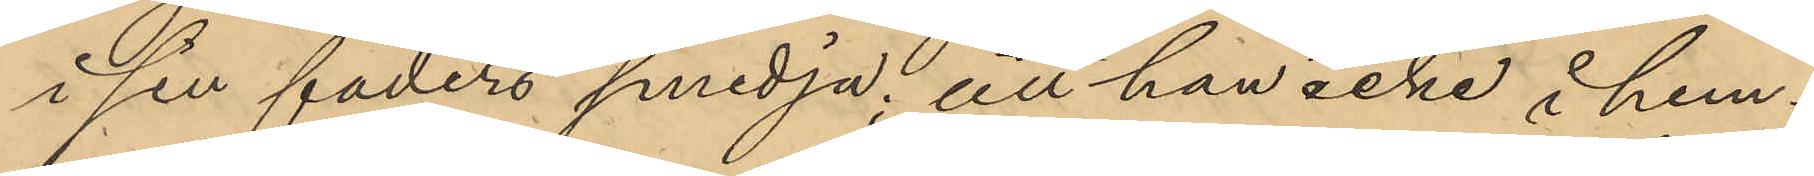i sin faders smedja; att han icke i hem¬
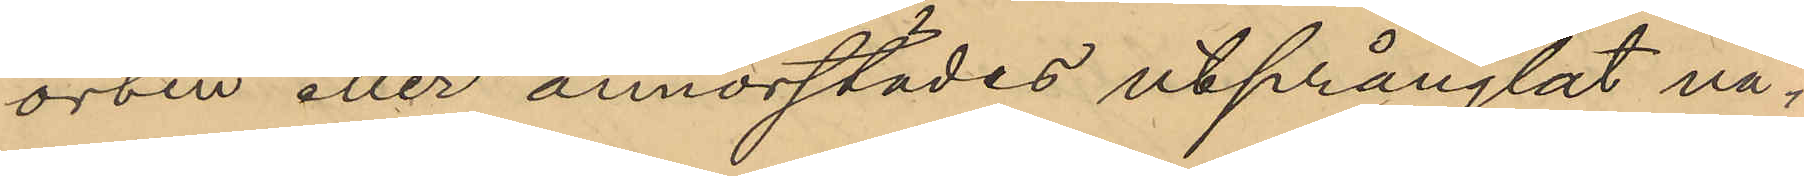orten eller annorstädes utprånglat nå¬
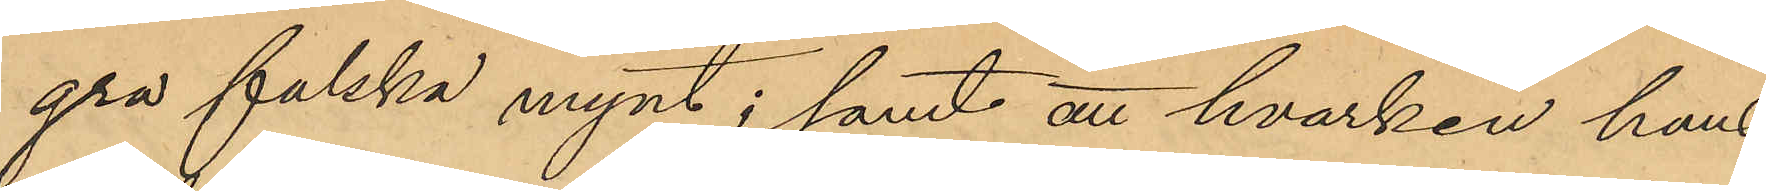gra falska mynt; samt att hvarken hans
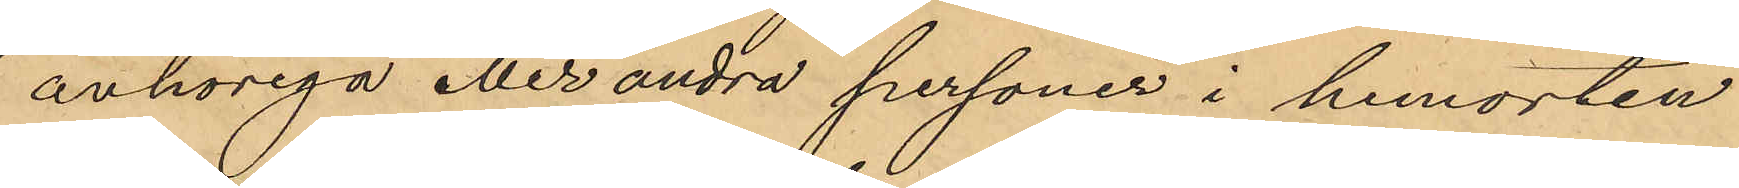anhöriga eller andra personer i hemorten
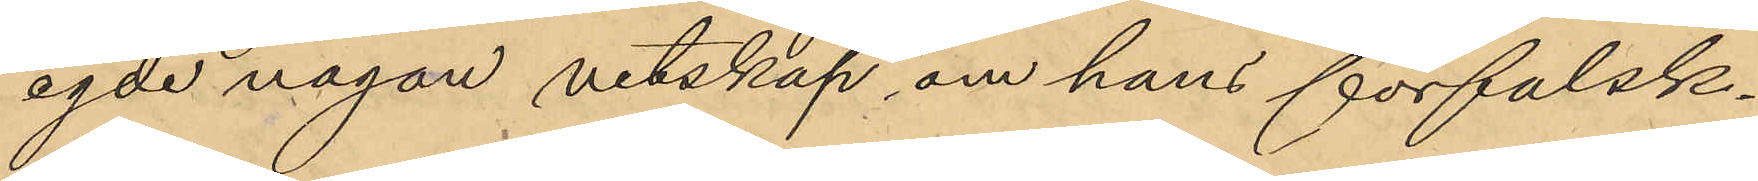egde någon vetskap om hans förfalsk¬
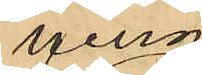ning
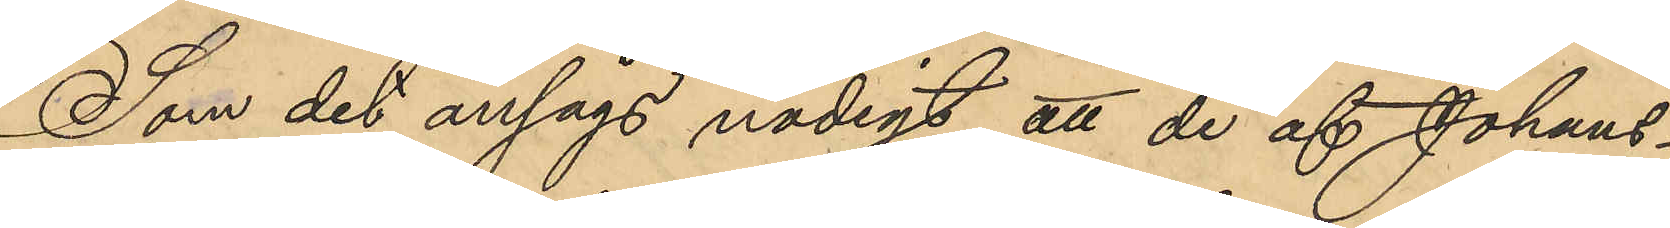Som det ansågs nödigt att de af Johans¬
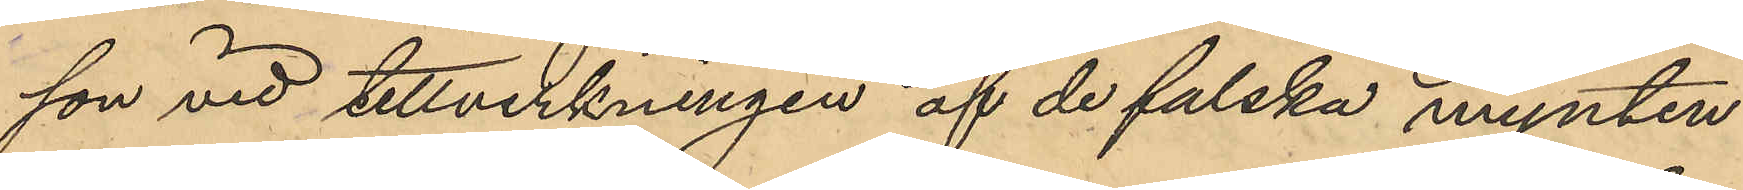son vid tillverkningen af de falska mynten
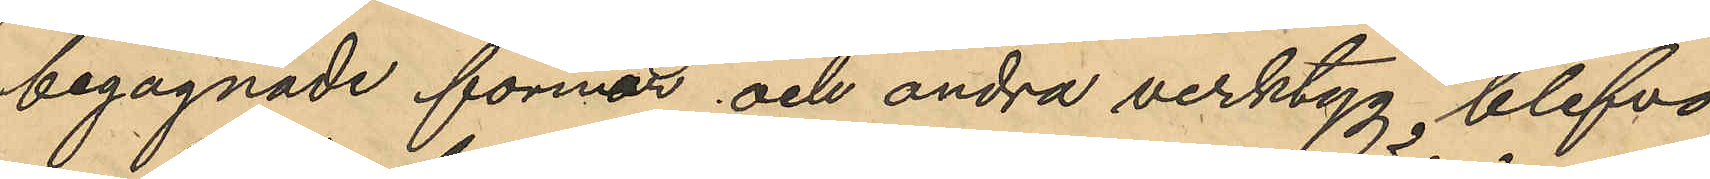begagnade formar och andra verktyg blefvo
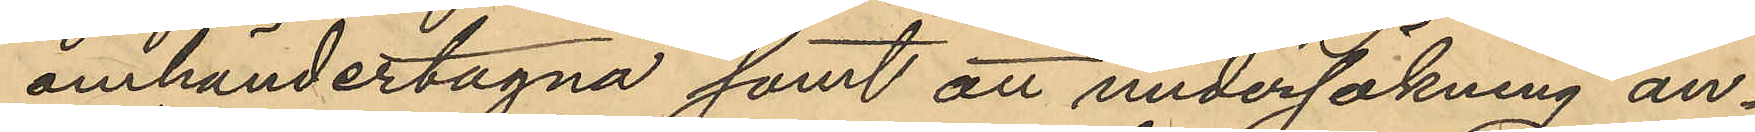omhändertagna samt att undersökning av
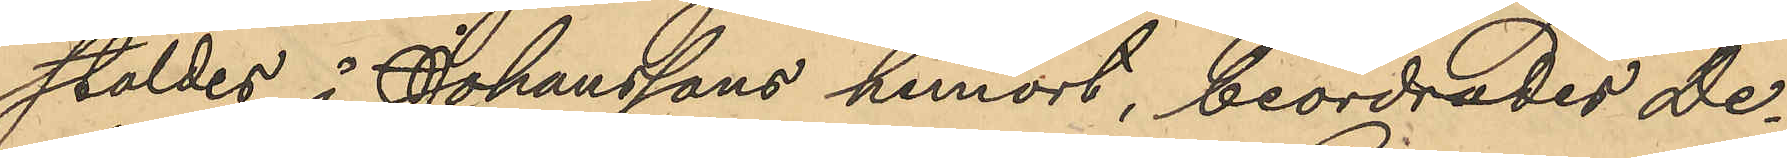stölder i Johanssons hemort, beordrades De¬
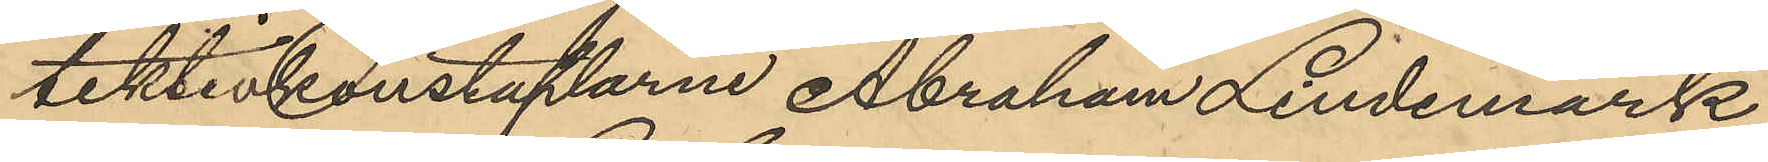tektivkonstaplarne Abraham Lindemark
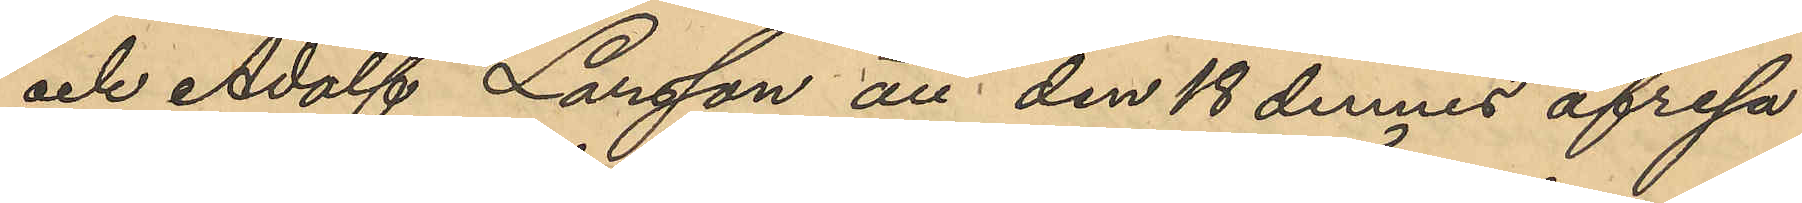och Adolf Larsson att den 18 dennes afresa
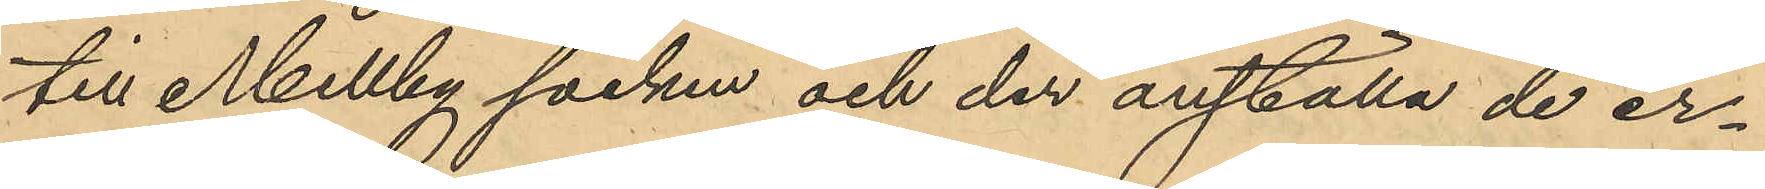till Mellby socken och der anställa de er¬
